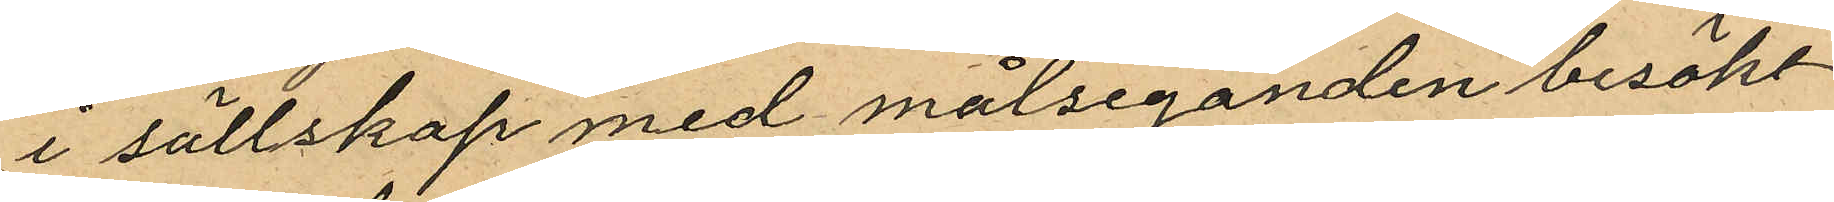i sällskap med målseganden besökt
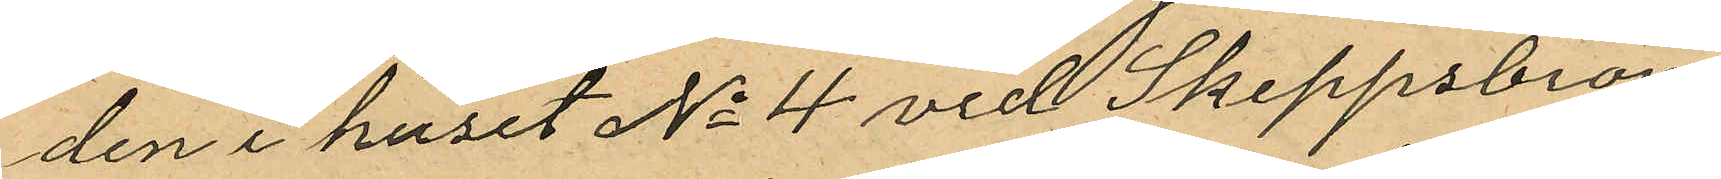den i huset No 4 vid Skeppsbron
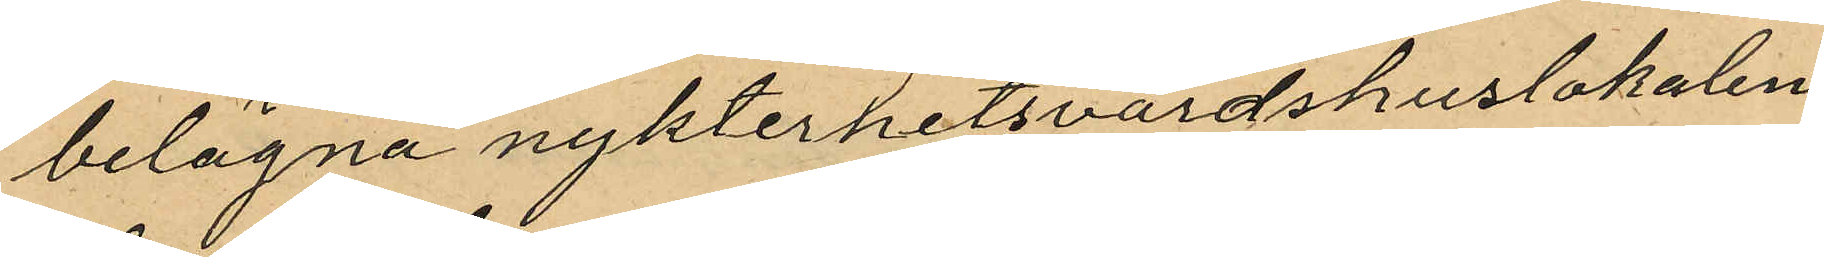belägna nykterhetsvärdshuslokalen,
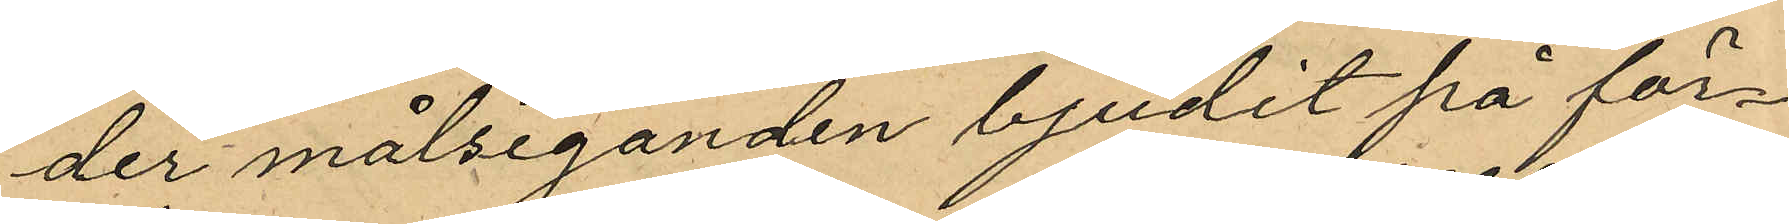der målseganden bjudit på för¬
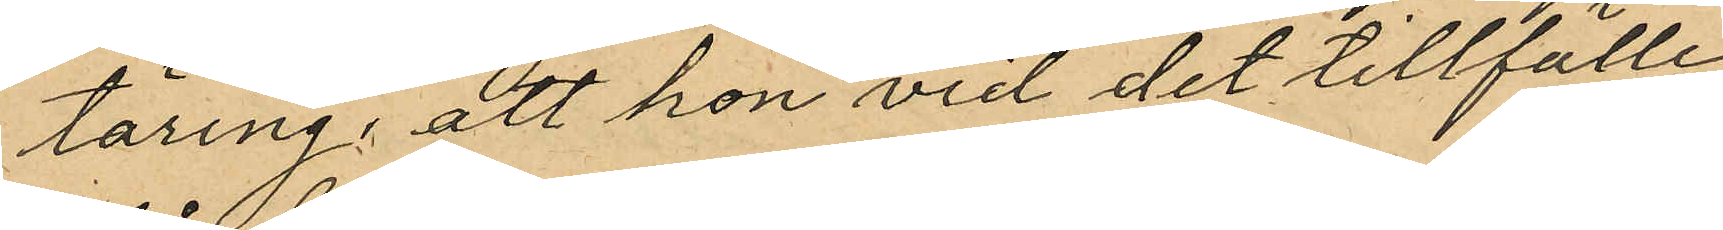täring, att hon vid det tillfälle
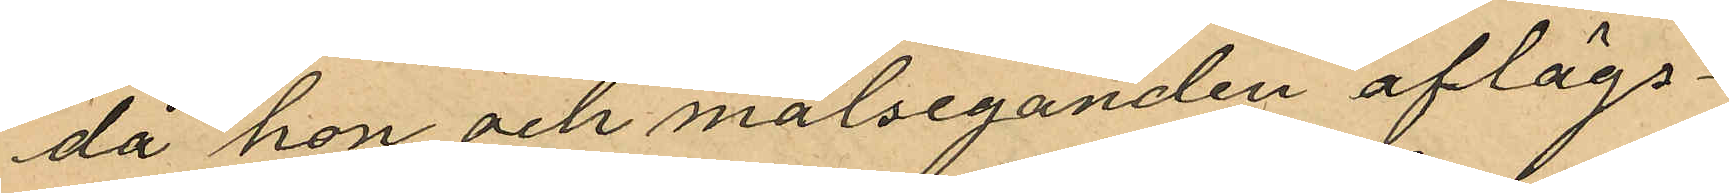då hon och målseganden aflägs¬
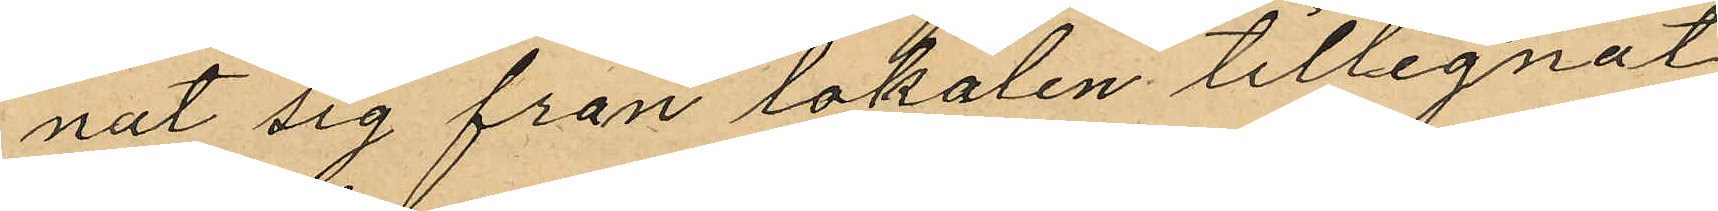nat sig från lokalen tillegnat
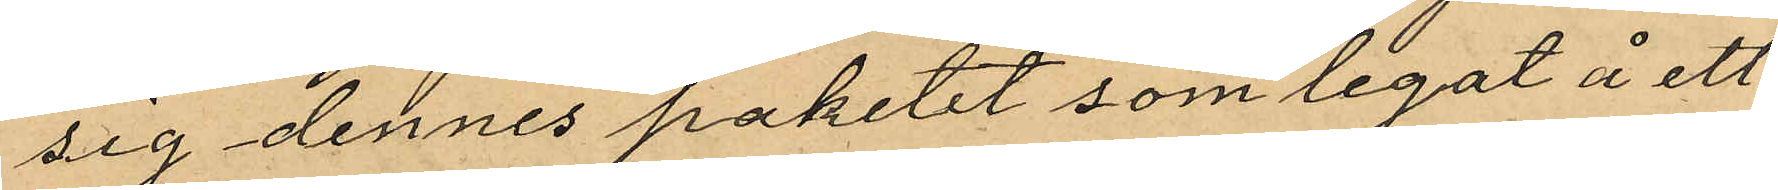sig dennes paketet som legat å ett
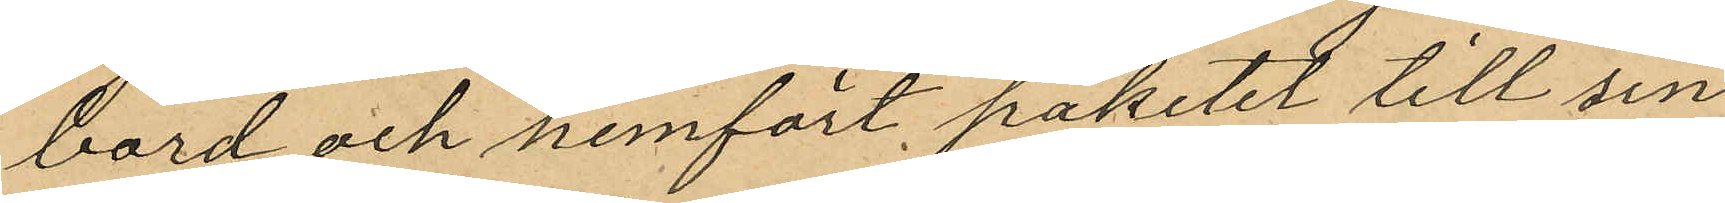bord och hemfört paketet till sin
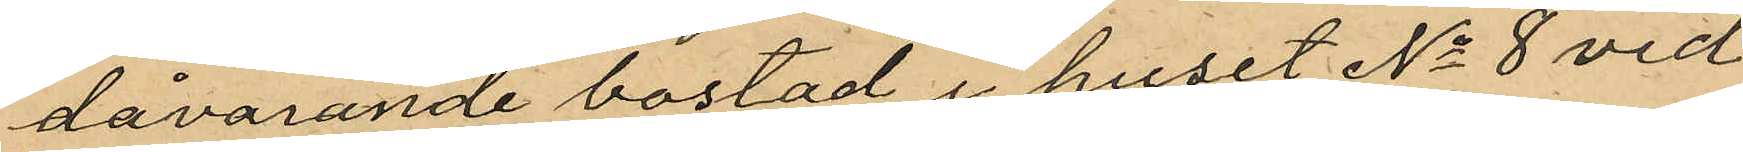dåvarande bostad i huset No 8 vid
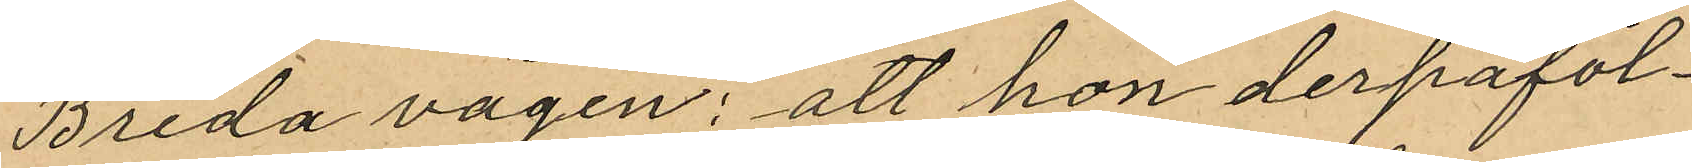Breda vägen; att hon derpåföl¬
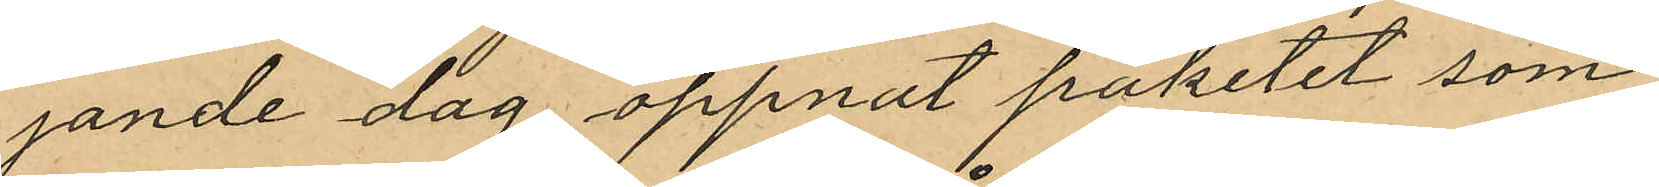jande dag öppnat paketet som
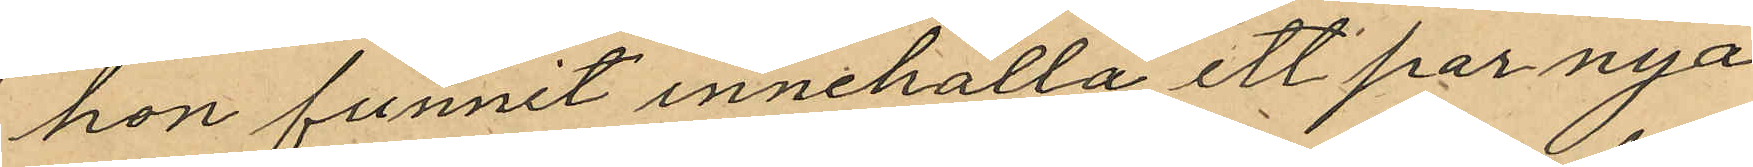hon funnit innehålla ett par nya
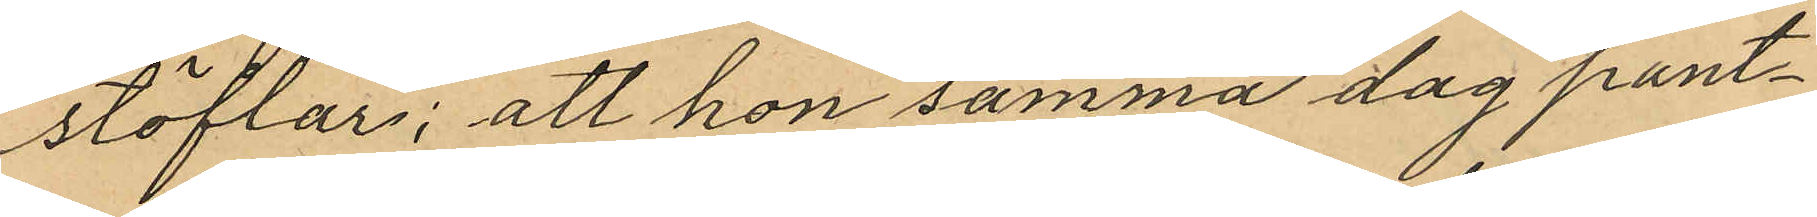stöflar; att hon samma dag pant¬
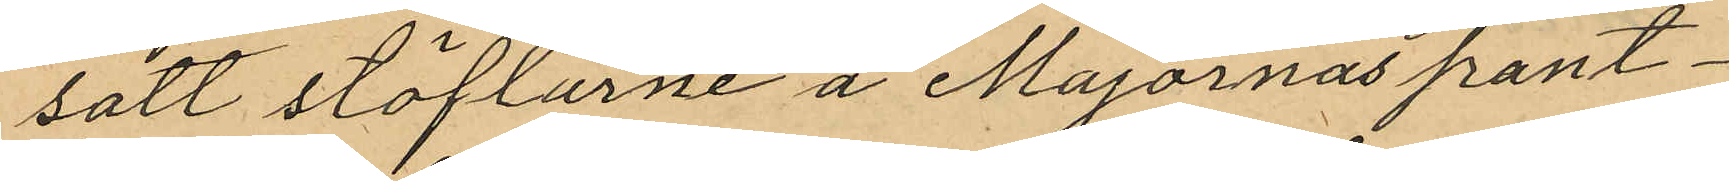satt stöflarne å Majornas pant¬
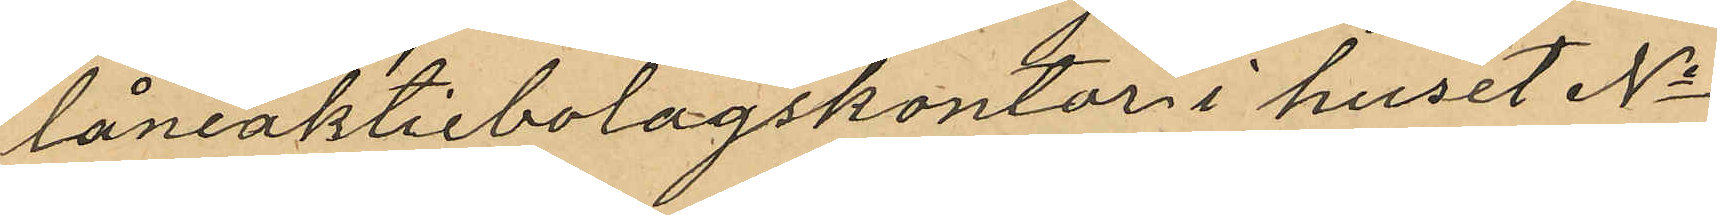låneaktiebolagskontor i huset No
